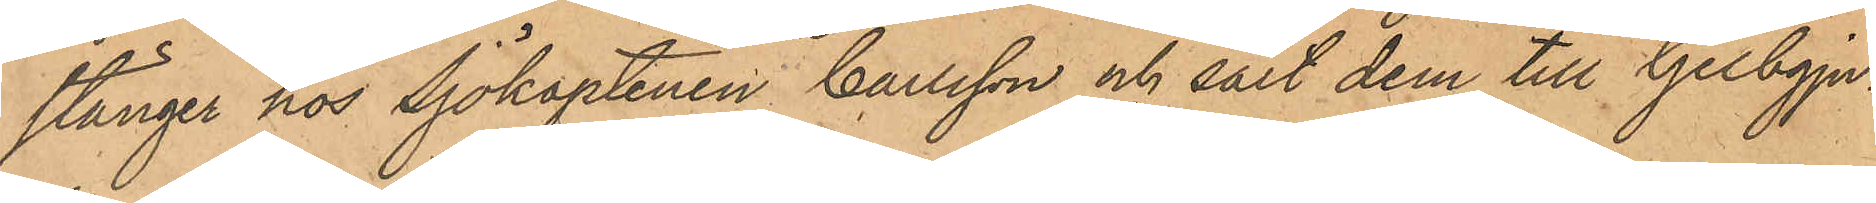stänger hos Sjökaptenen Carlsson och sålt dem till Gelbgju¬
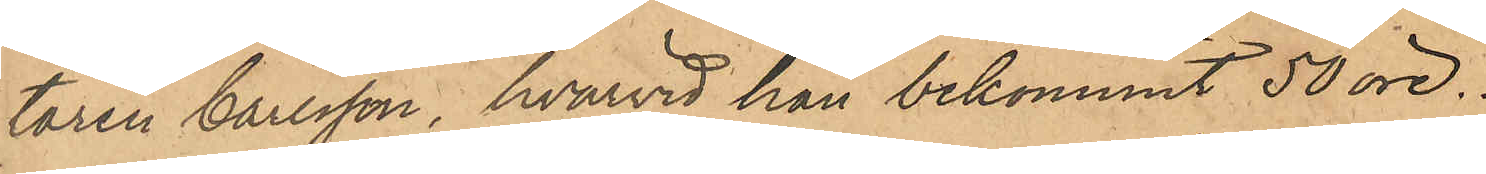taren Carlsson, hvarvid han bekommit 50 öre.
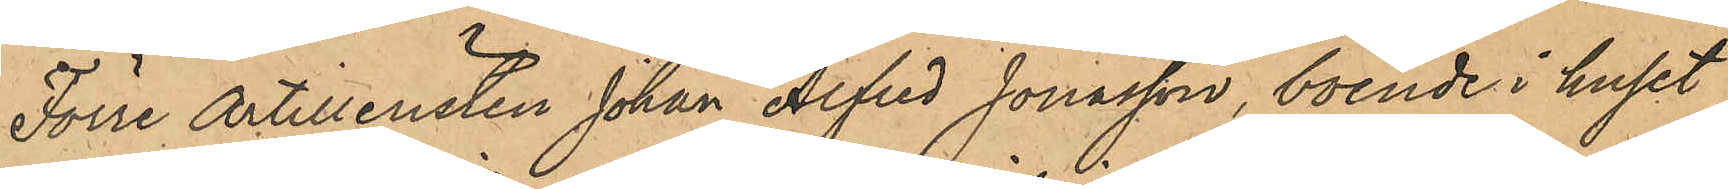Förre Artilleristen Johan Alfred Jonasson, boende i huset
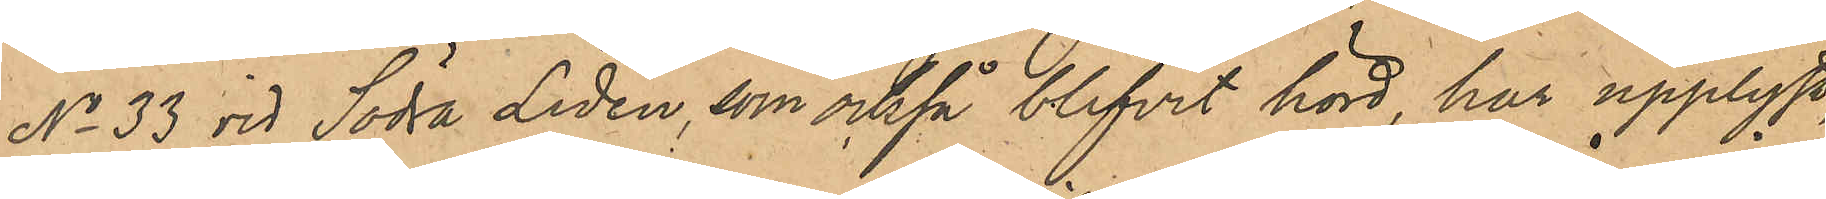No 33 vid Södra Liden, som också blivit hörd, har har upplyst
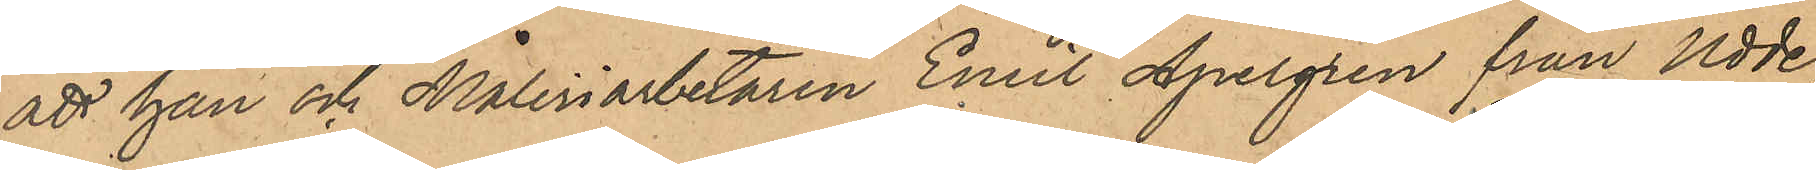att han och Måleriarbetaren Emil Apelgren från Udde¬
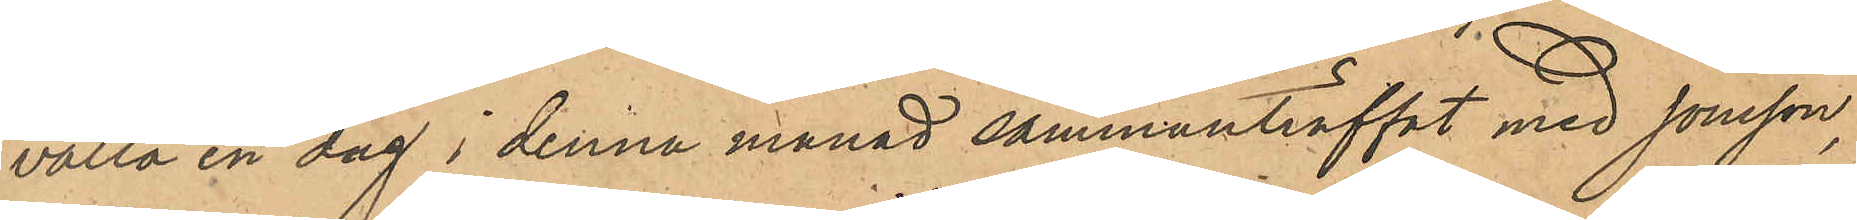valla en dag i denna månad sammanträffat med Jonsson,
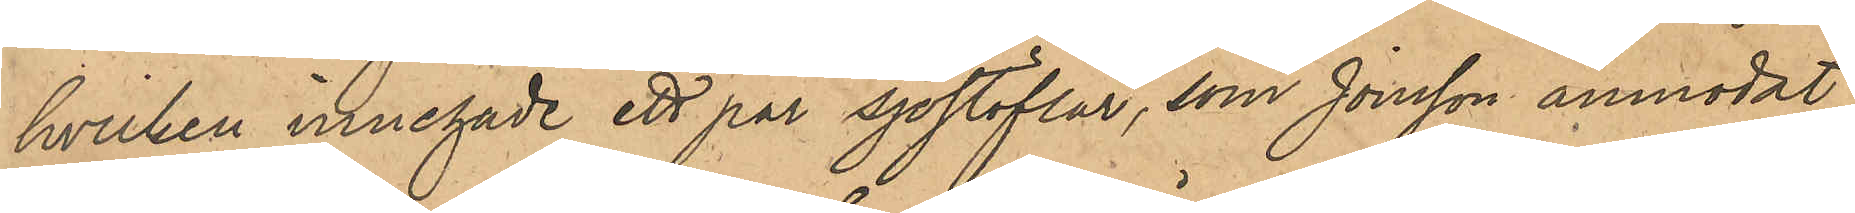hvilken innehade ett par sjöstöflar, som Jonsson anmodat
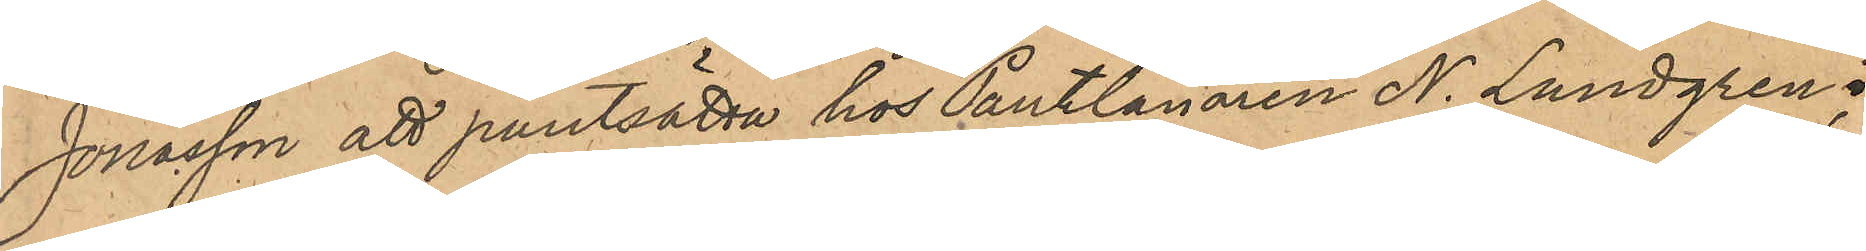Jonasson att pantsätta hos Pantlånaren N. Lundgren;
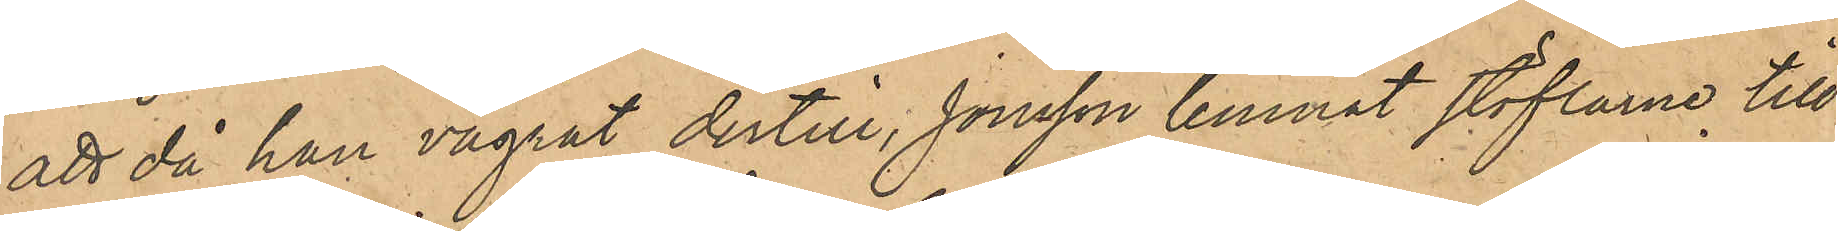att då han vägrat dertill, Jonsson lemnat stöflarne till
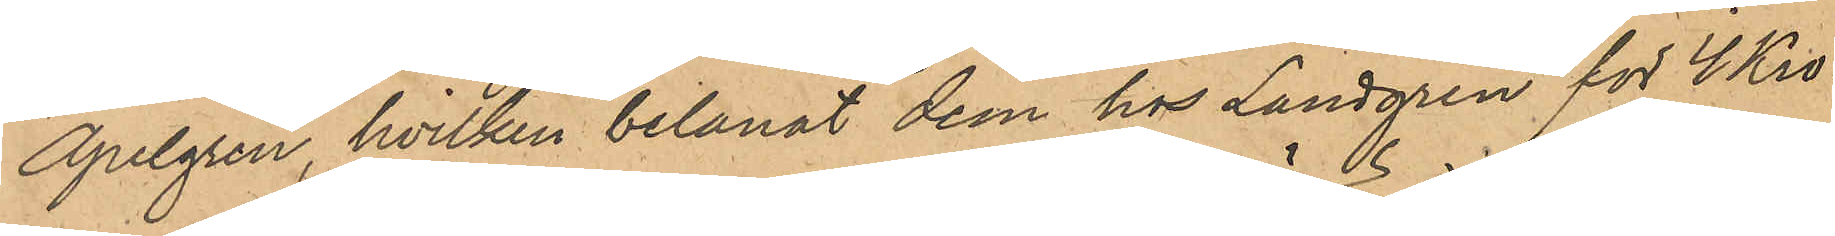Apelgren, hvilken belånat dem hos Lundgren för 4 Kro¬
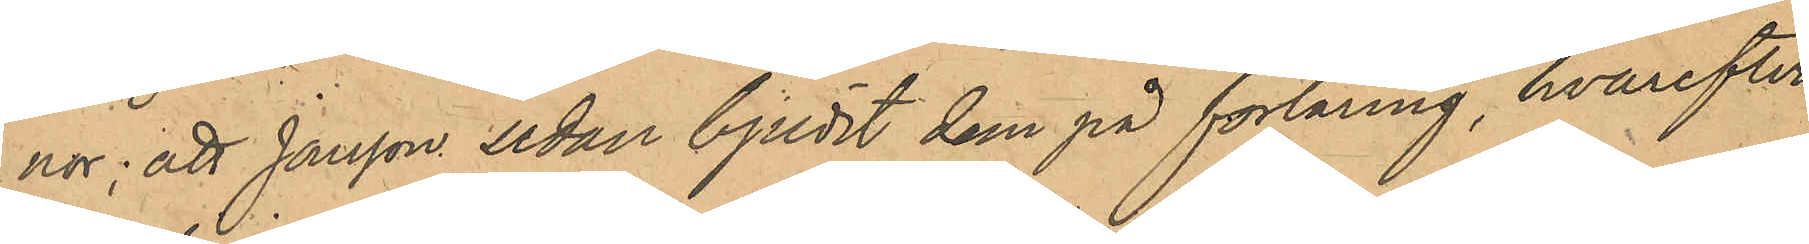nor; att Jonsson sedan bjudit dem på förtäring, hvarefter
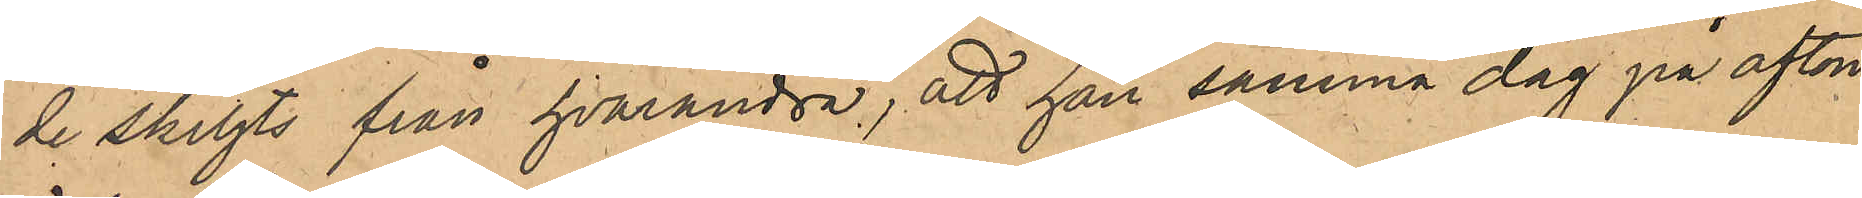de skiljts från hvarandra, att han samma dag på afton
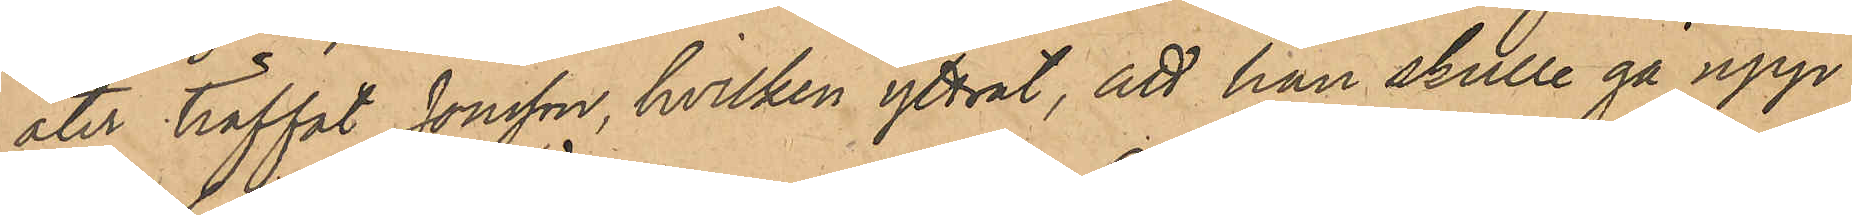åter träffat Jonsson, hvilken yttrat, att han skulle gå upp
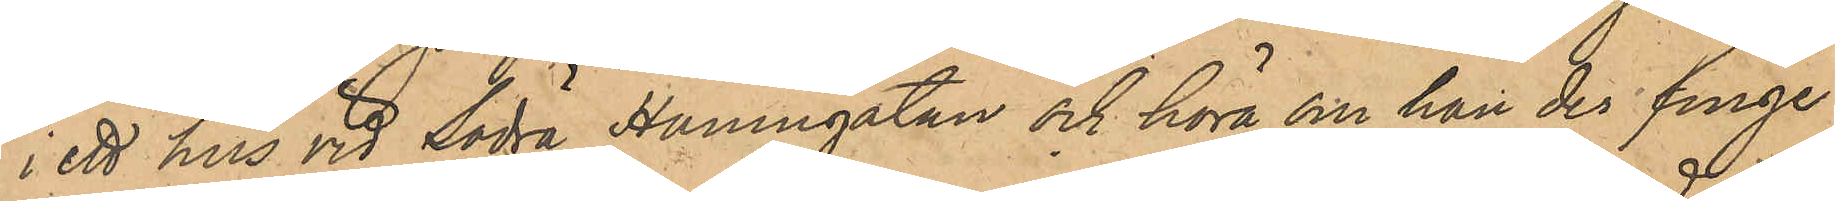i ett hus vid Södra Hamngatan och höra om han der finge
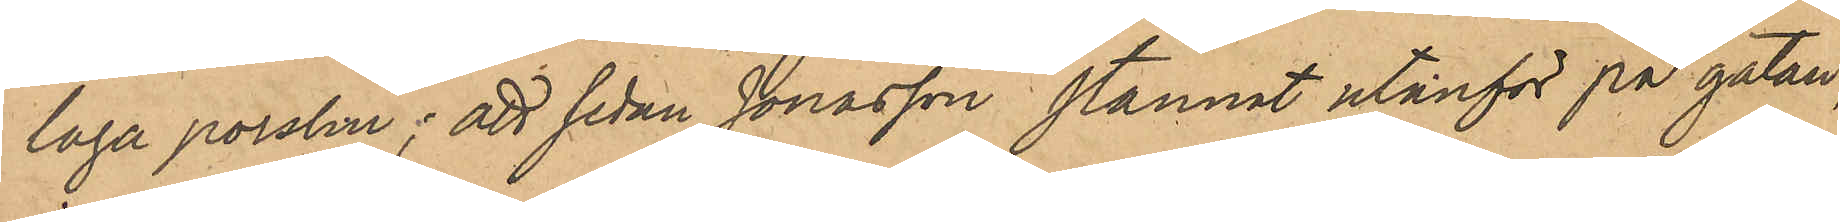laga porslin; att sedan Jonasson stannat utanför på gatan,
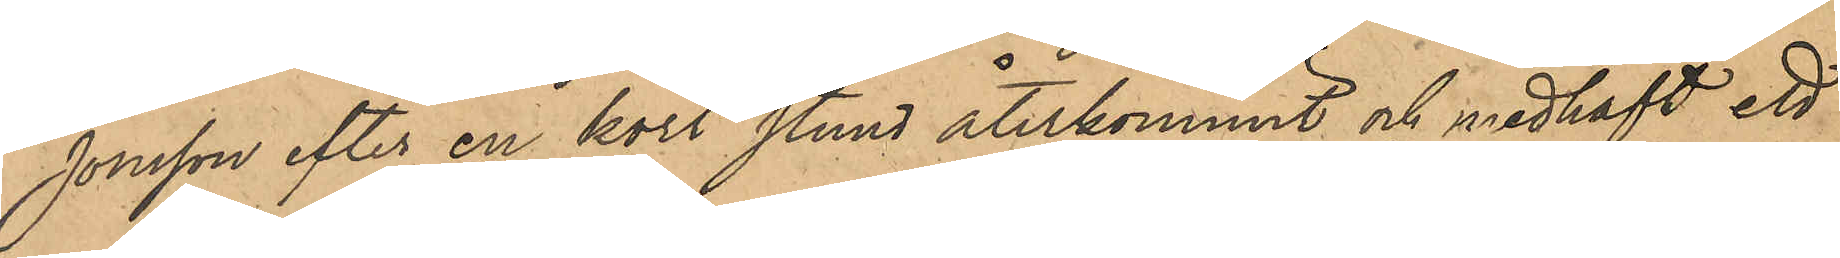Jonsson efter en kort stund återkommit och medhaft ett
